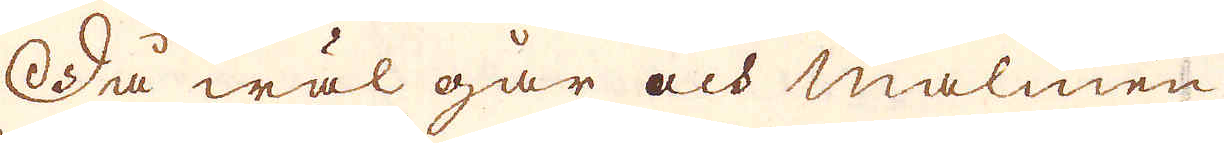Så wäl går och malmen
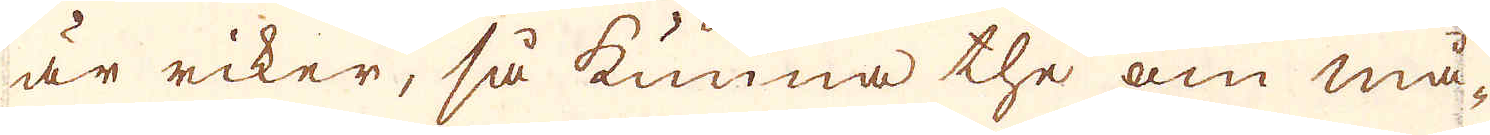är riker, så kunna the om må-
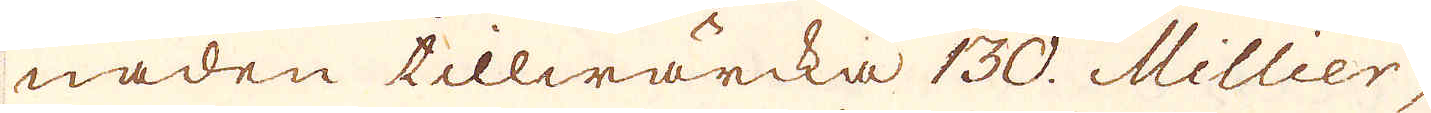naden tillwärcka 130. Millier
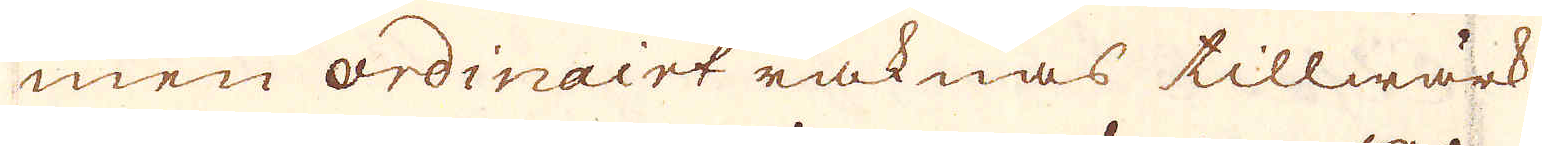men ordinairt räknas tillwärk-
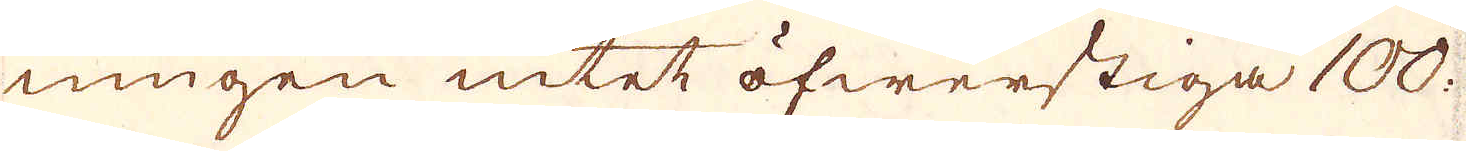ningen intet öfwerstiga 100.
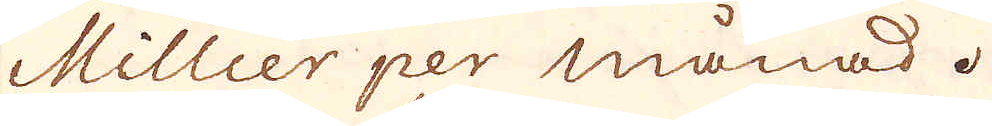Millier per månad.
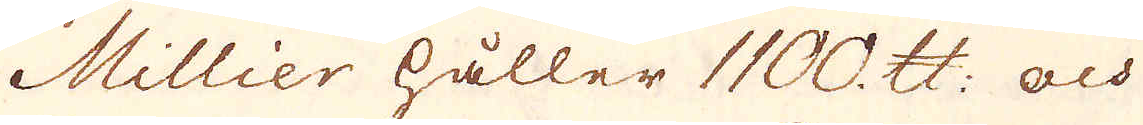Millier håller 1100. skålpund: och
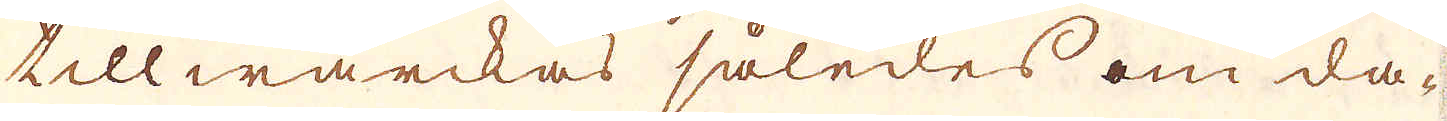tillwärckas således om da-
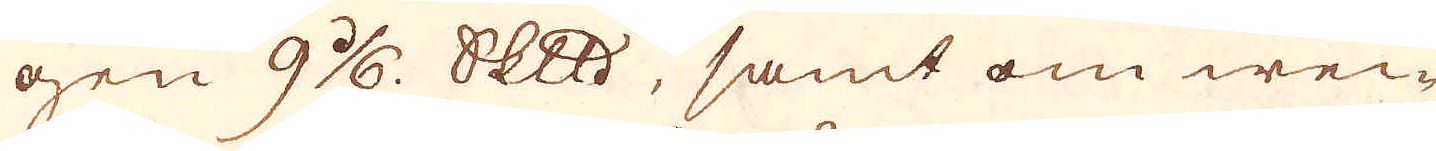gen 9 1/6. Skeppund, samt om we-
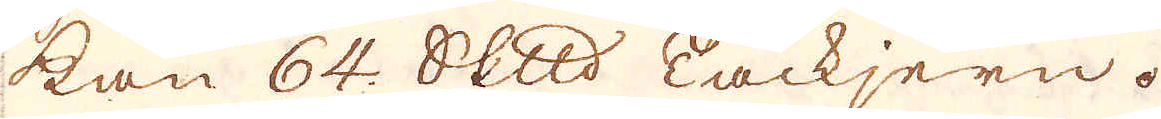kan 64. Skeppund Tackjern.
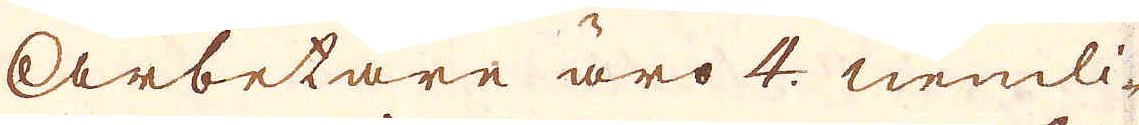Arbetare äro 4. nemli-
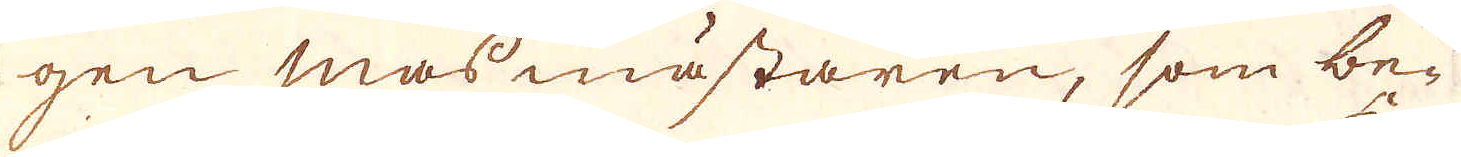gen masmästaren, som be-
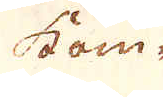kom-
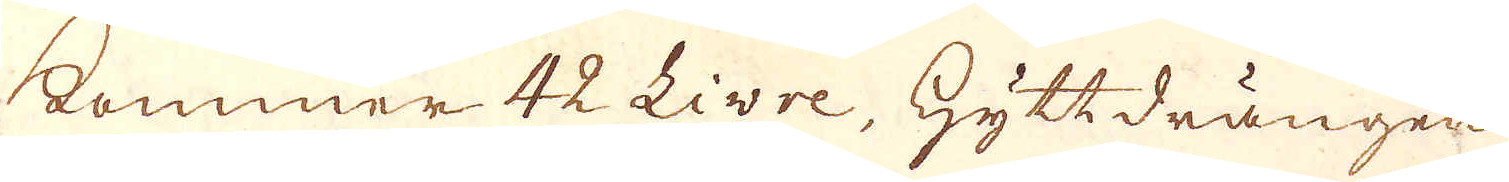kommer 42 Livre, Hyttdrängen
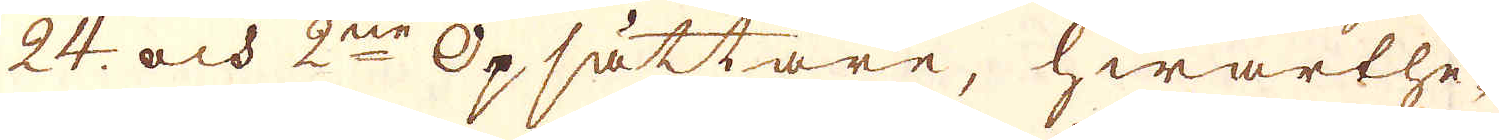24. och 2ne Opsättare, hwarthe-
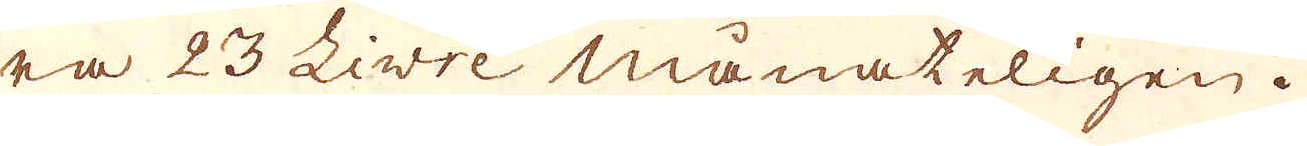ra 23 Livre månateligen.
